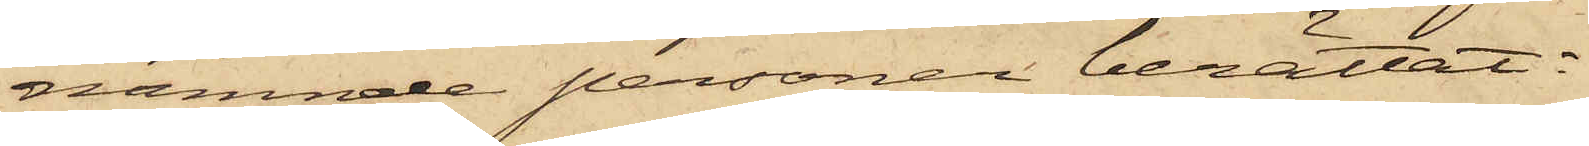nämnde personer berättat:
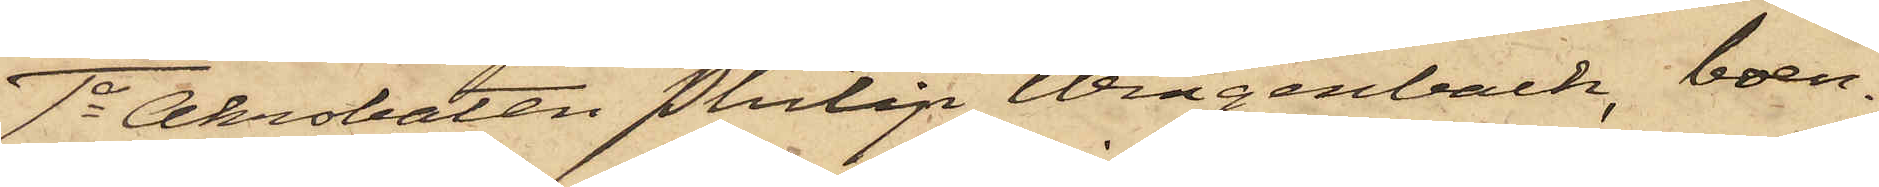1o Akrobaten Philip Wingenbach, boen¬
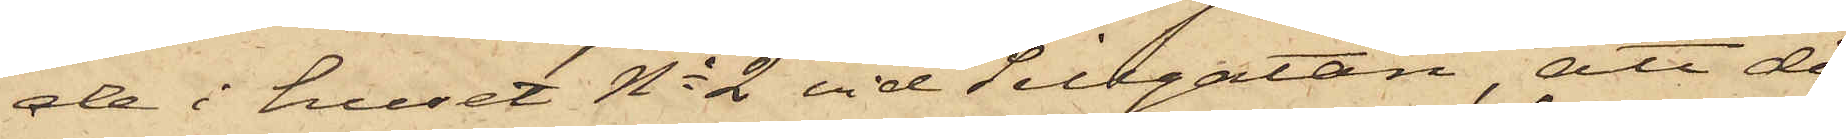de i huset No 2 vid Sillgatan, att då
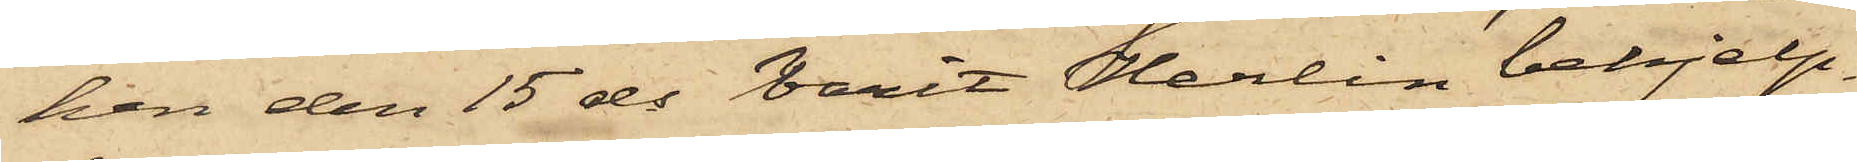han den 15 ds varit Herlin behjelp¬
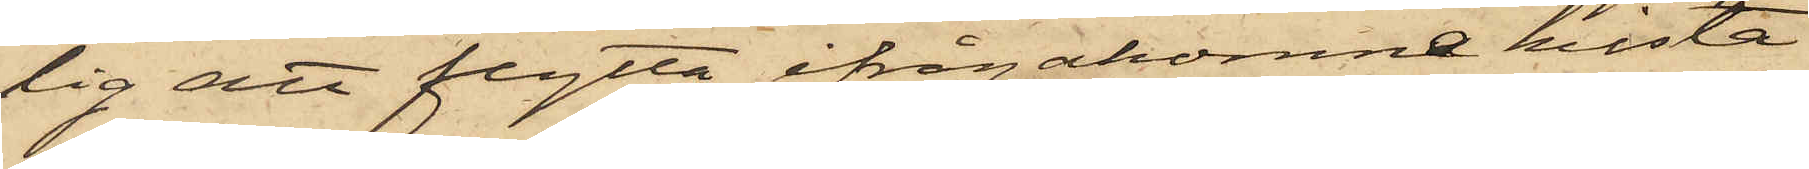lig att flytta ifrågakomne kista
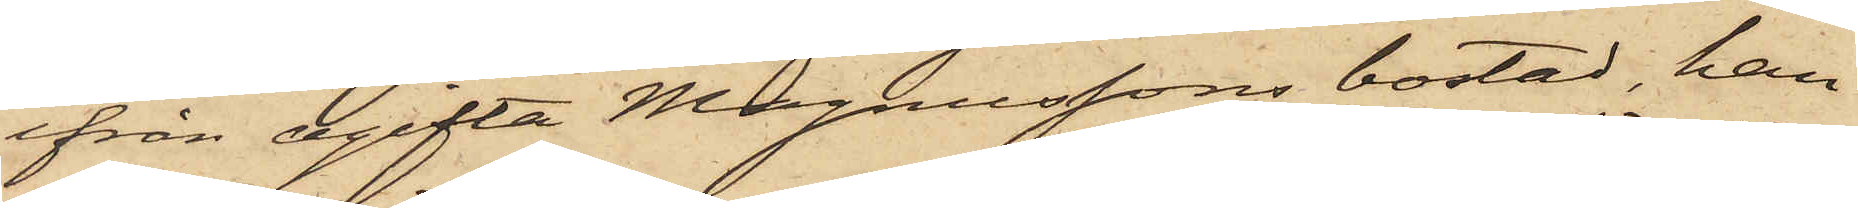ifrån ogifta Magnussons bostad, han
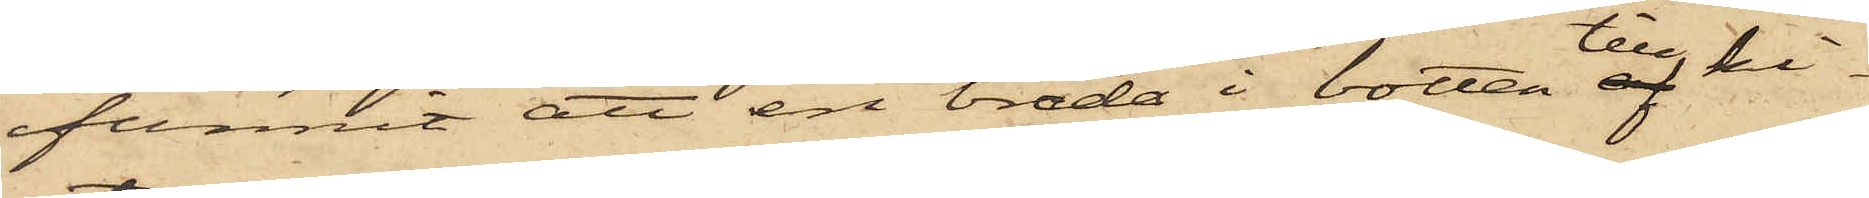funnit att en bräda i botten till ki¬
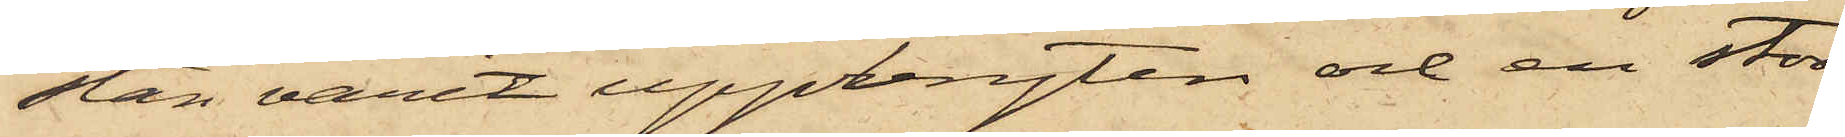stan varit uppbryten och en stor
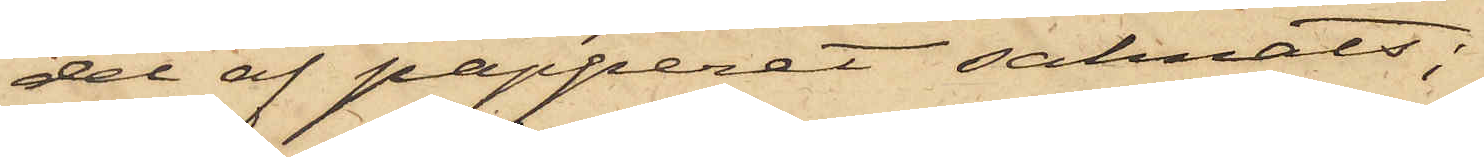del af papperet saknats;
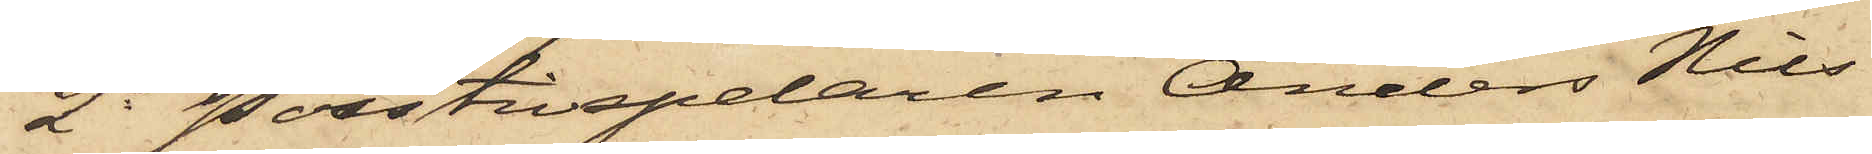2o Positivspelaren Anders Nils¬
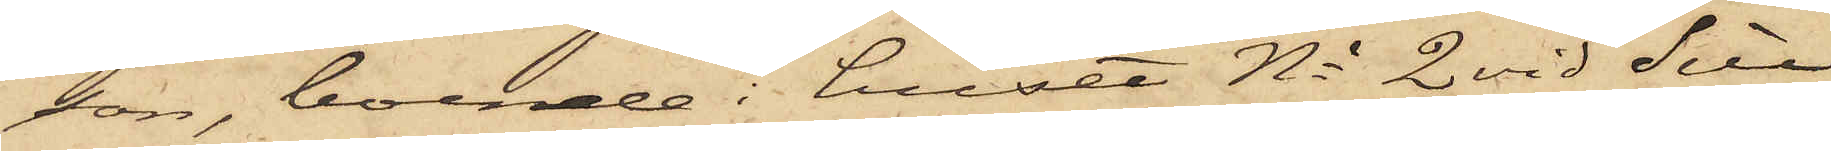son, boende i huset No 2 vid Sill¬
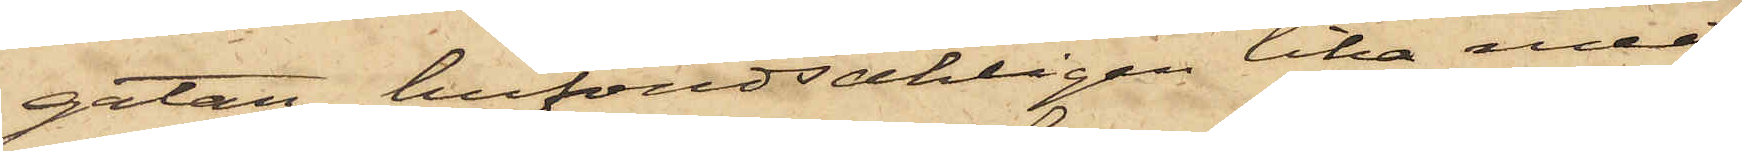gatan, hufvudsakligen lika med
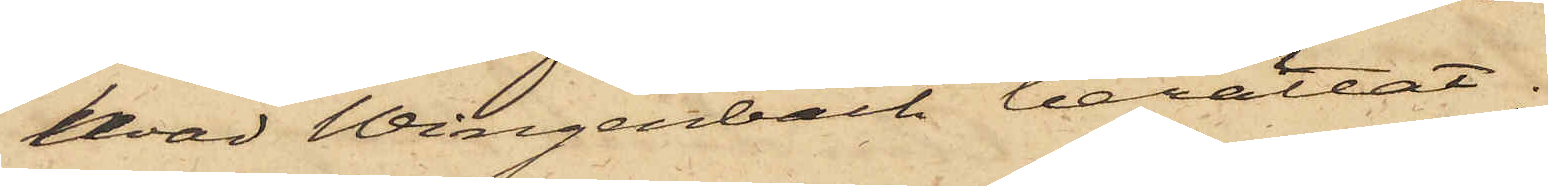hvad Wingenbach berättat.
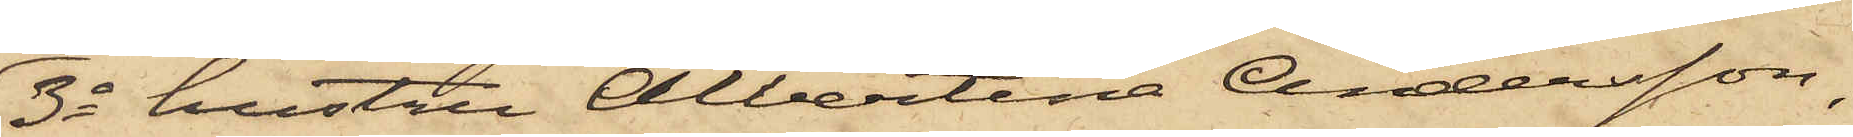3o hustru Albertina Andersson,
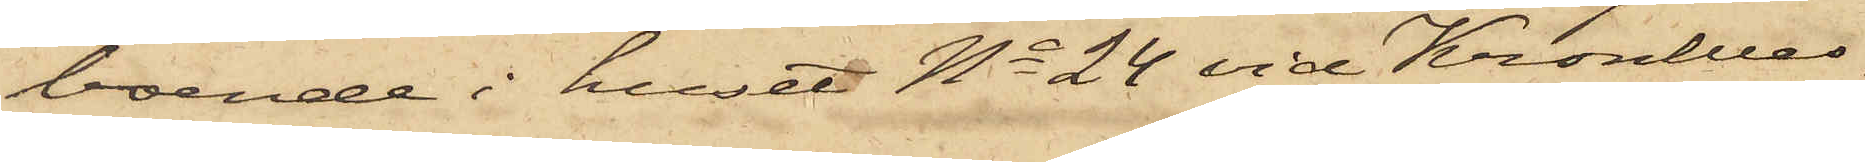boende i huset No 24 vid Kronhus¬
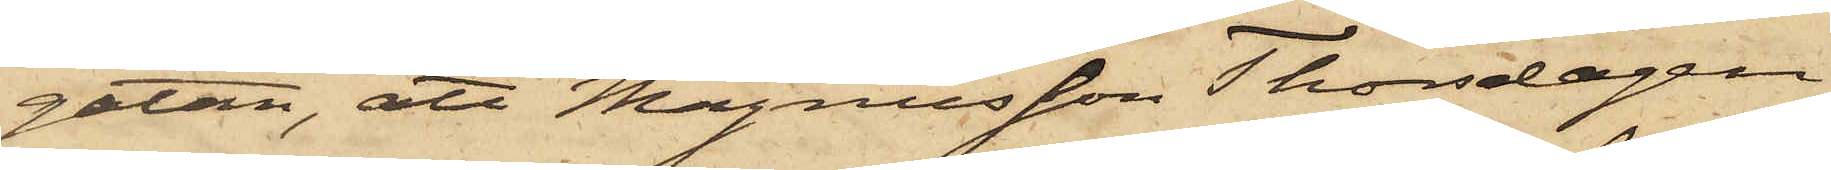gatan, att Magnusson Thorsdagen
